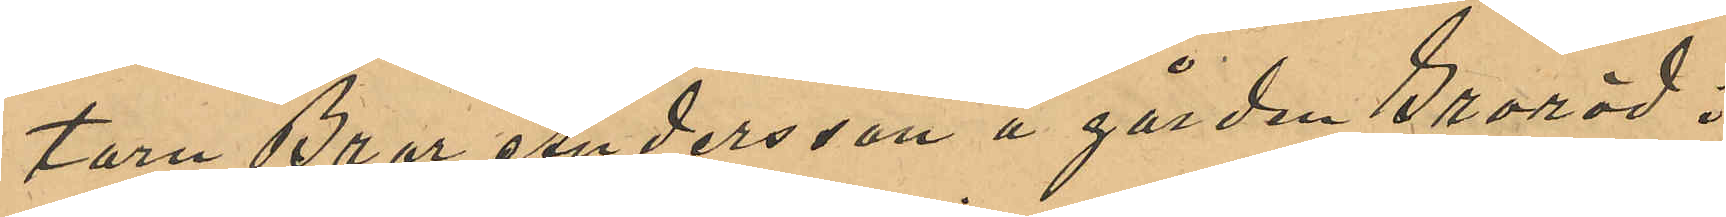torn Bror Andersson å gården Groröd i
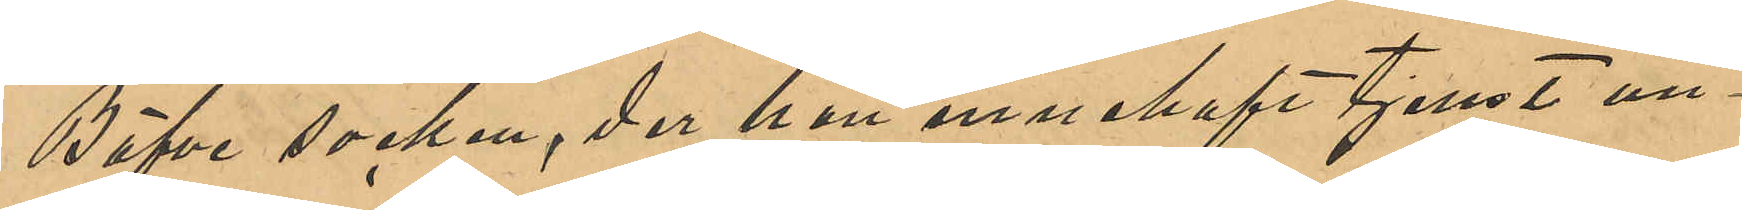Bäfve socken, der han innehaft tjenst un¬
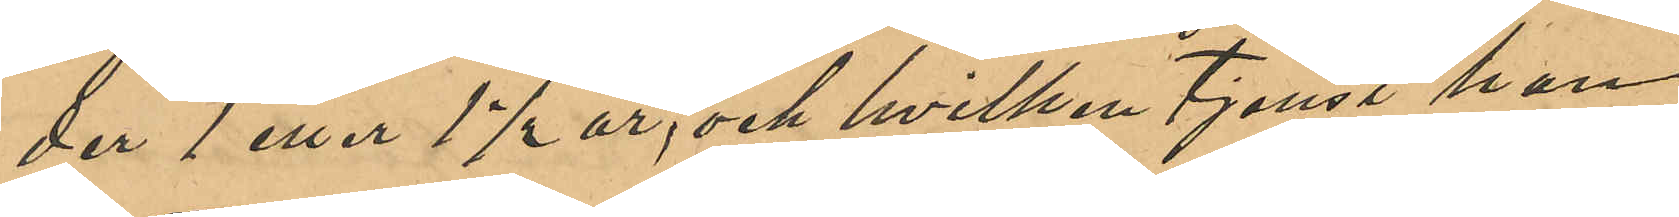der 1 eller 1 ½ år, och hvilken tjenst han
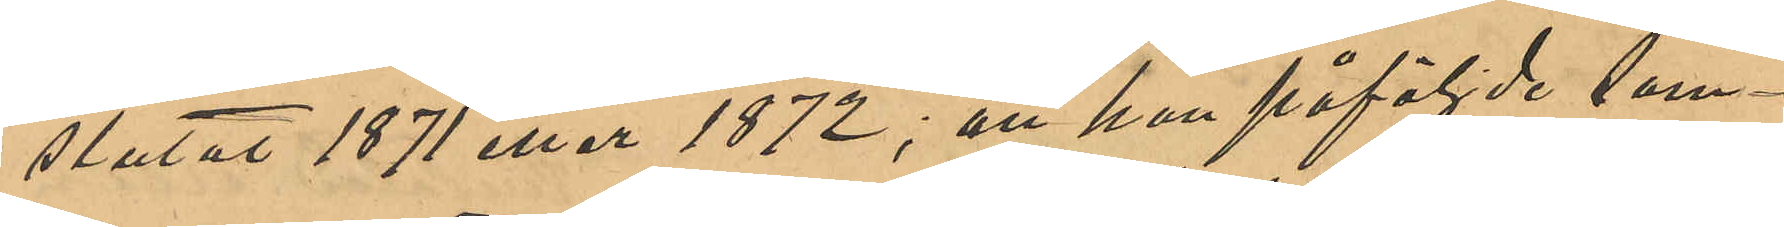slutat 1871 eller 1872; att han påföljde som¬
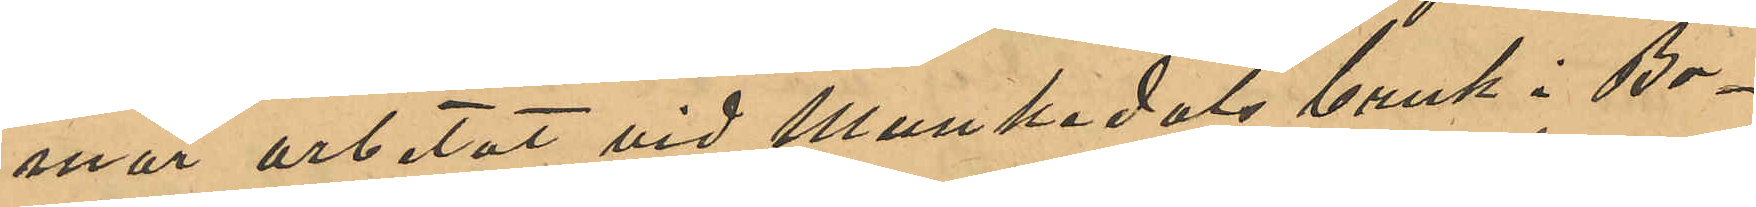mar arbetat vid Munkedals bruk i Bo¬
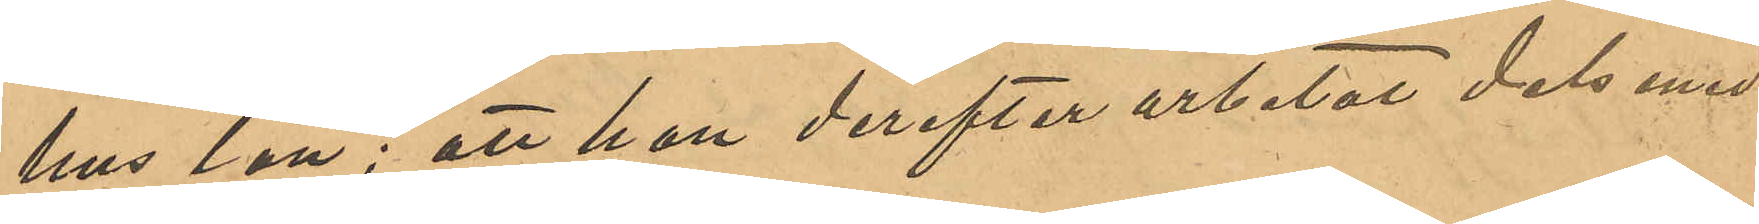hus län; att han derefter arbetat dels med
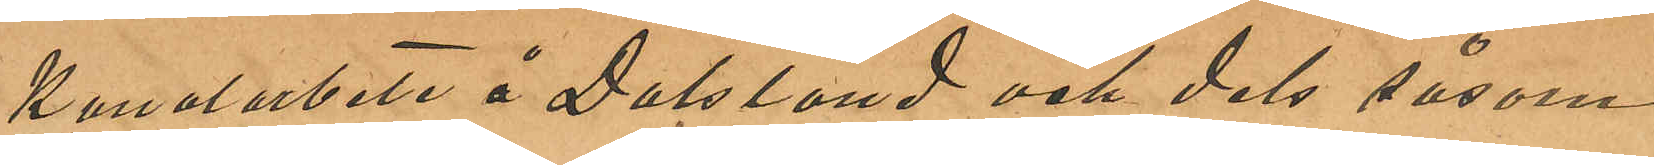Kanalarbete å Dalsland och dels såsom
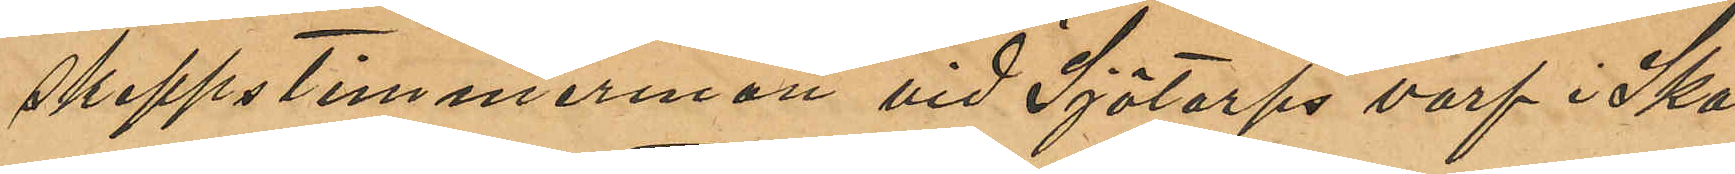skeppstimmerman vid Sjötorps varf i Ska¬
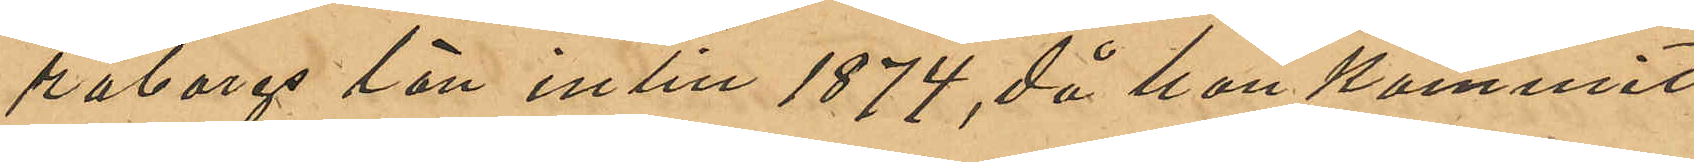raborgs län intill 1874, då han kommit
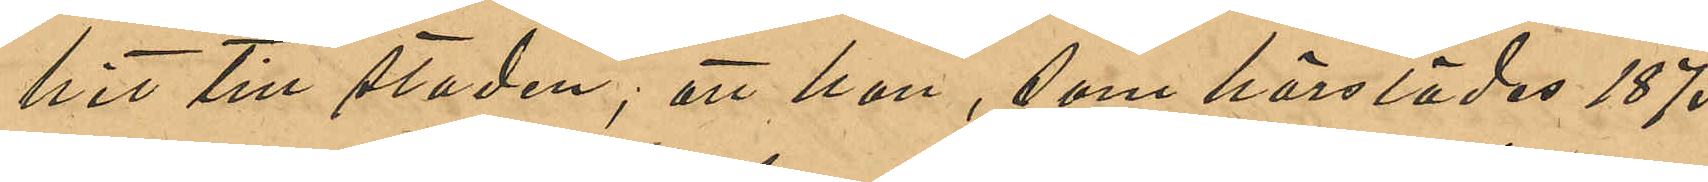hit till staden; att han, som härstädes 1875
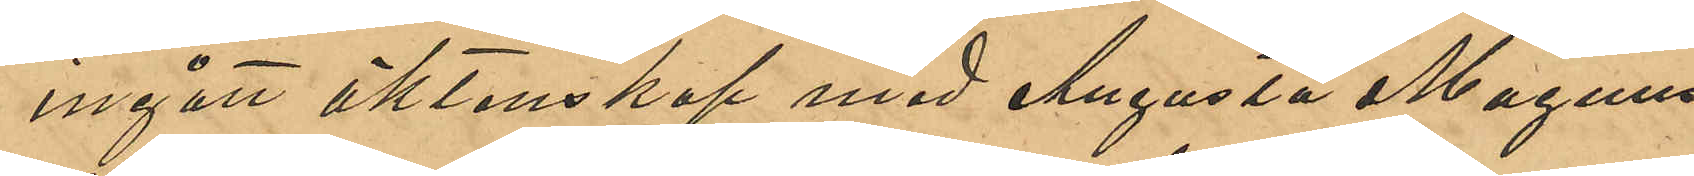ingått äktenskap med Augusta Magnus¬
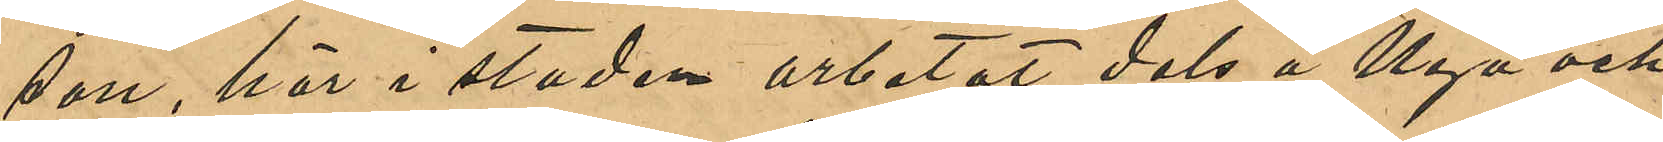son, här i staden arbetat dels å Nya och
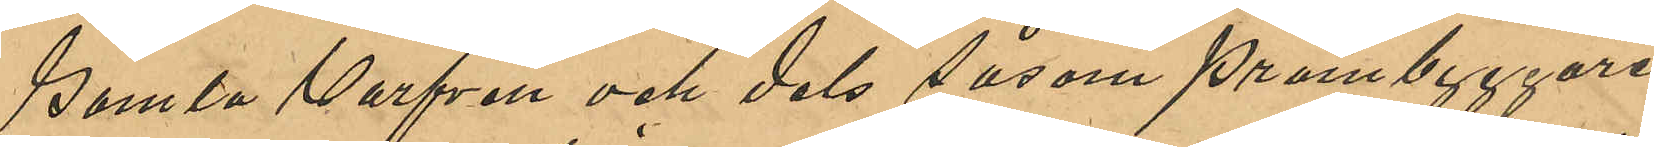Gamla Varfven och dels såsom pråmbyggare
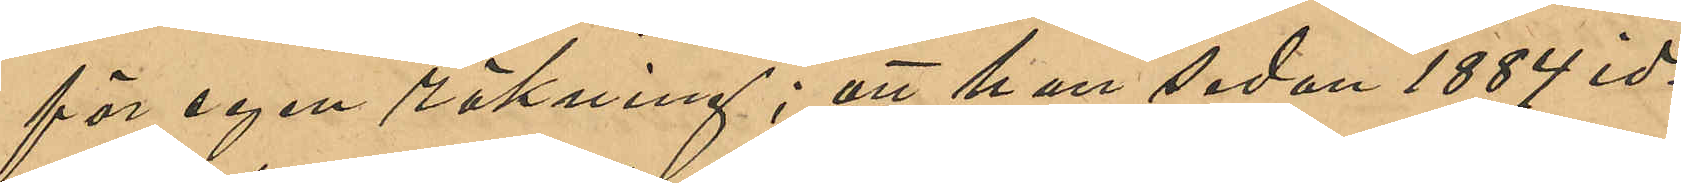för egen räkning; att han sedan 1884 id¬
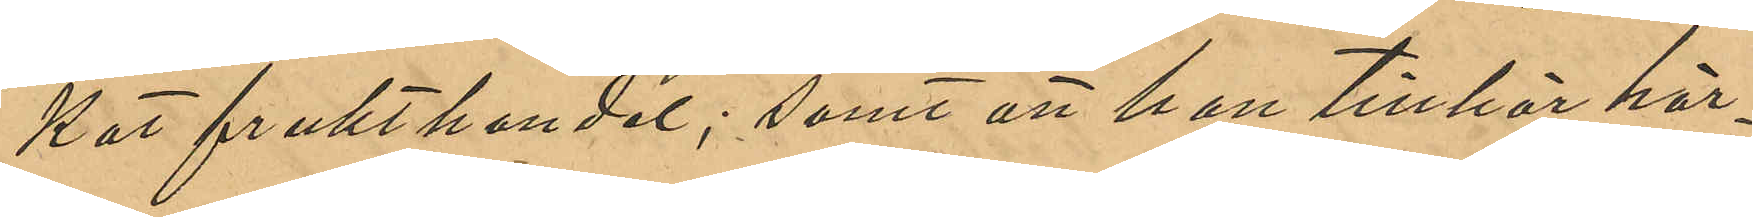kat frukthandel; samt att han tillhör här¬
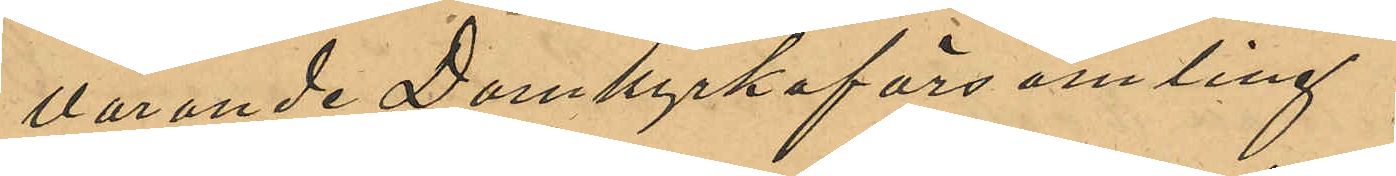varande Domkyrkoförsamling.
